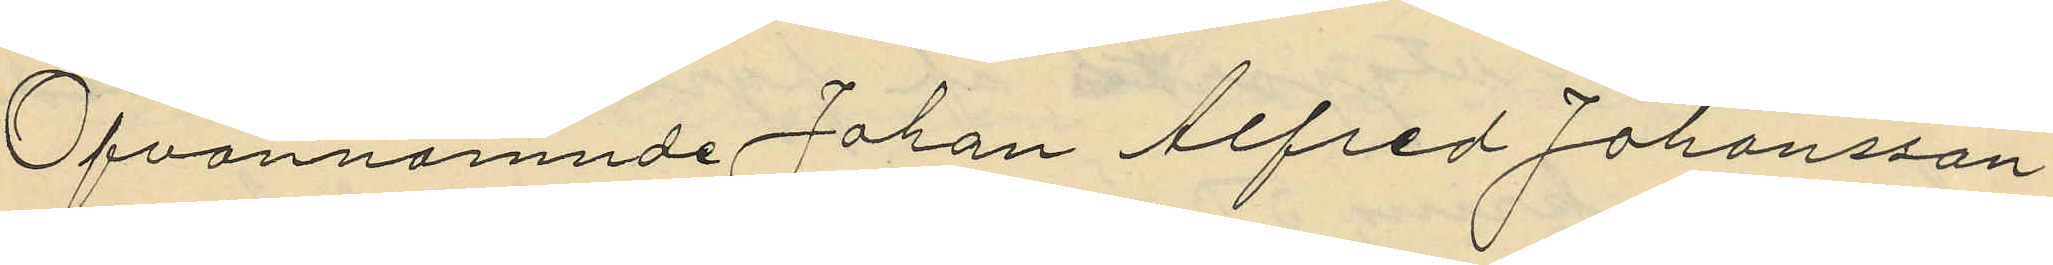Ofvannämnde Johan Alfred Johansson
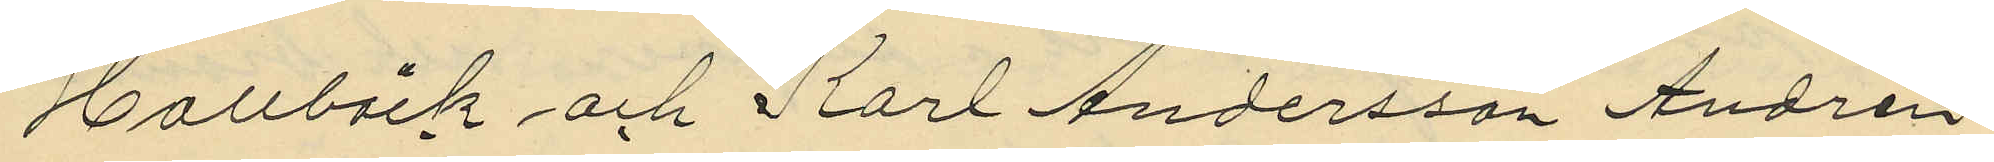Hallbäck och Karl Andersson Andrén
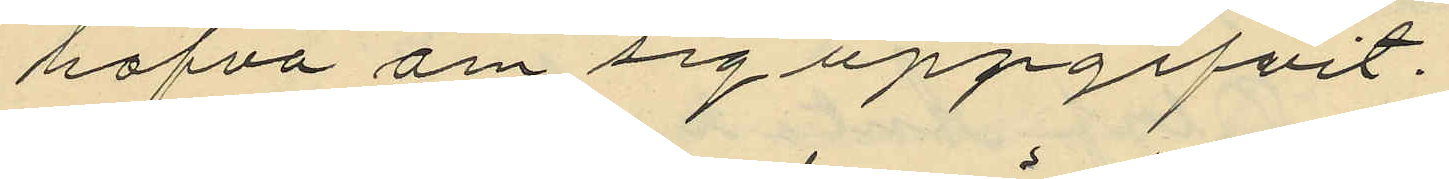hafva om sig uppgifvit.
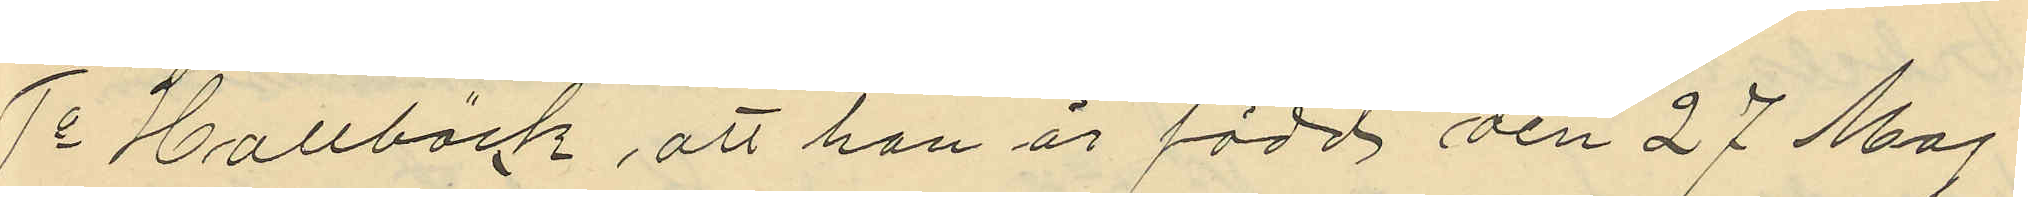1o Hallbäck, att han är född den 27 Maj
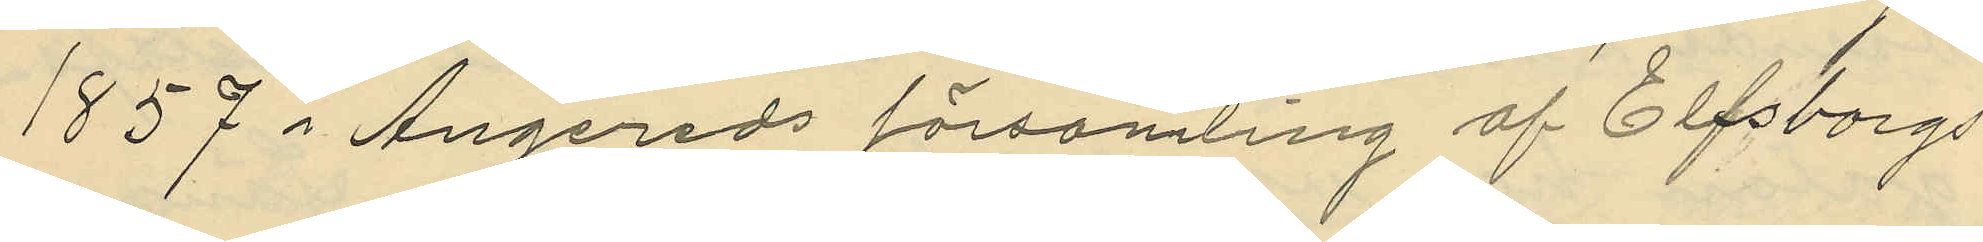1857 i Angereds församling af Elfsborgs
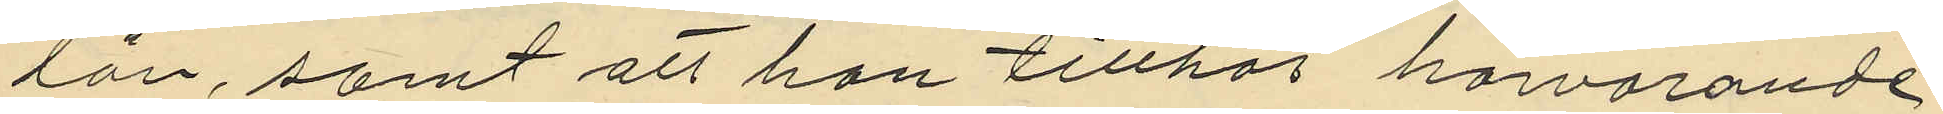län, samt att han tillhör härvarande
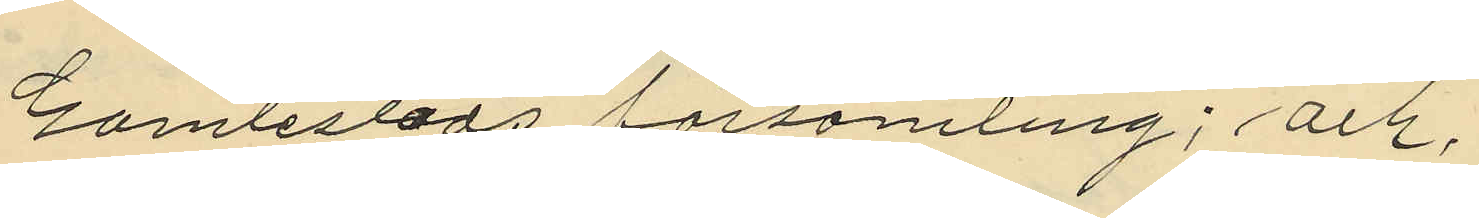Gamlestads församling; och,
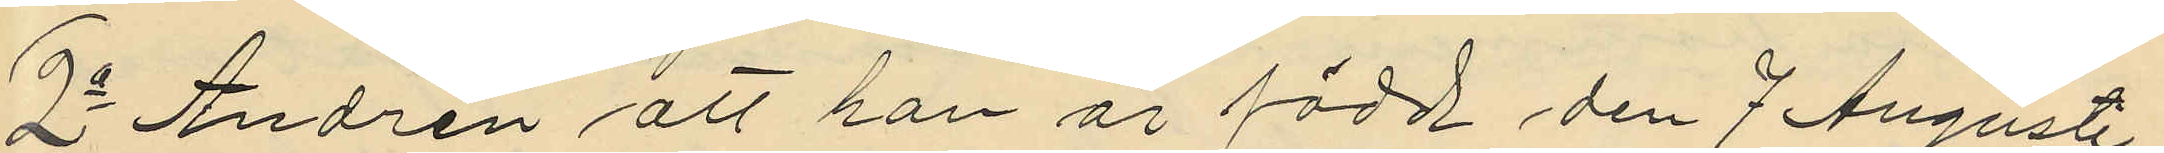2o Andrén att han är född den 7 Augusti
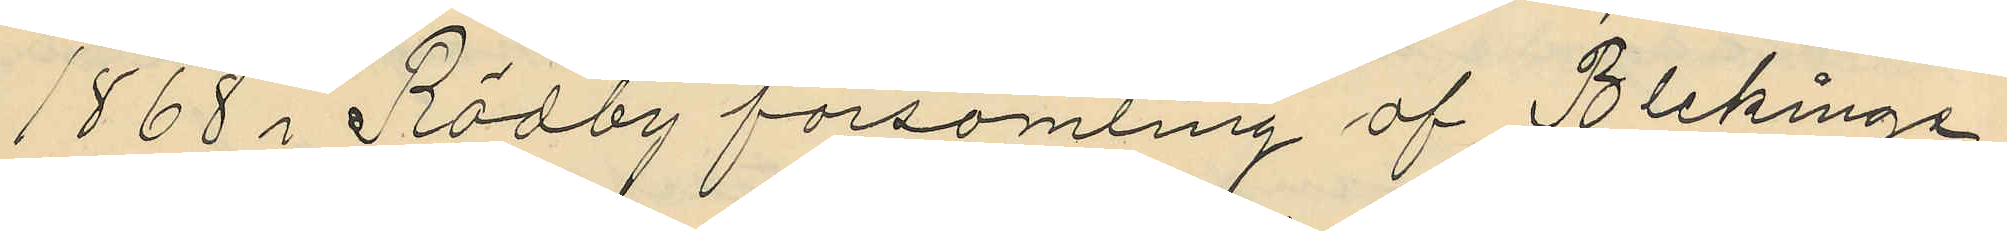1868 i Rödby församling af Blekinge
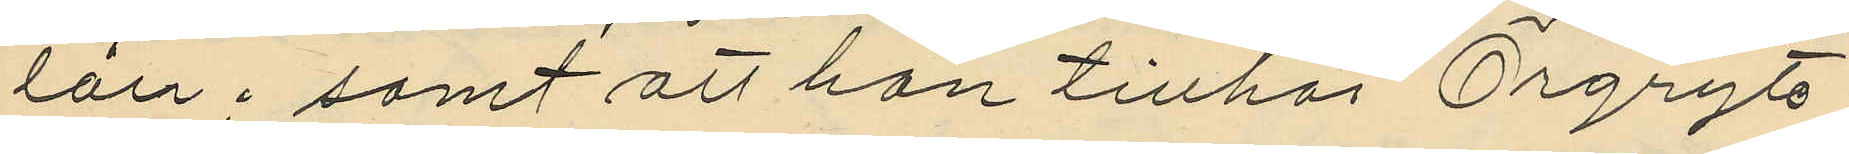län; samt att han tillhör Örgryte
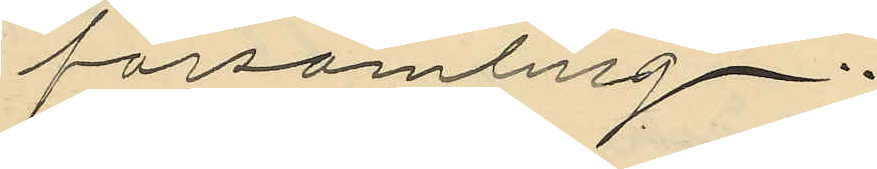församling.
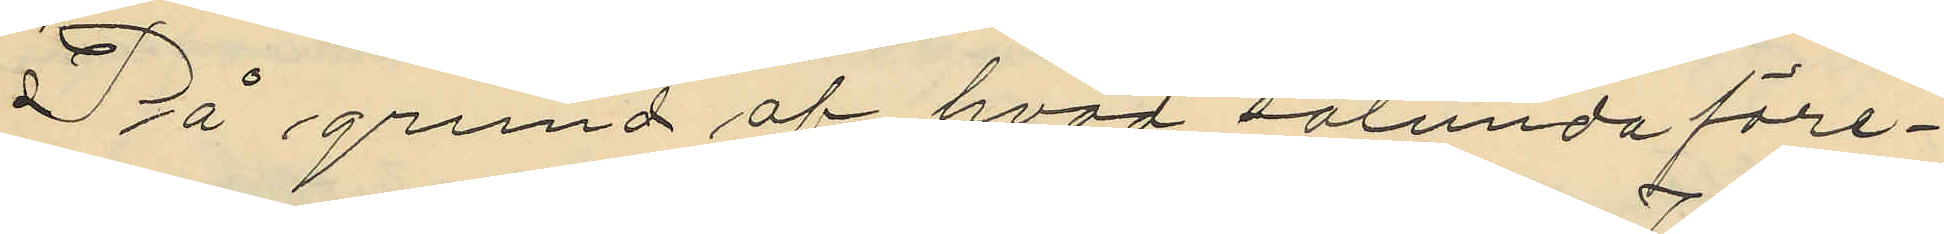På grund af hvad sålunda före¬
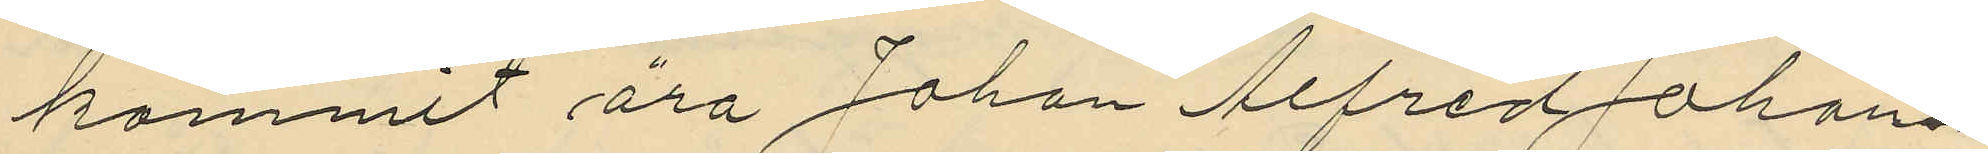kommit äro Johan Alfred Johans¬
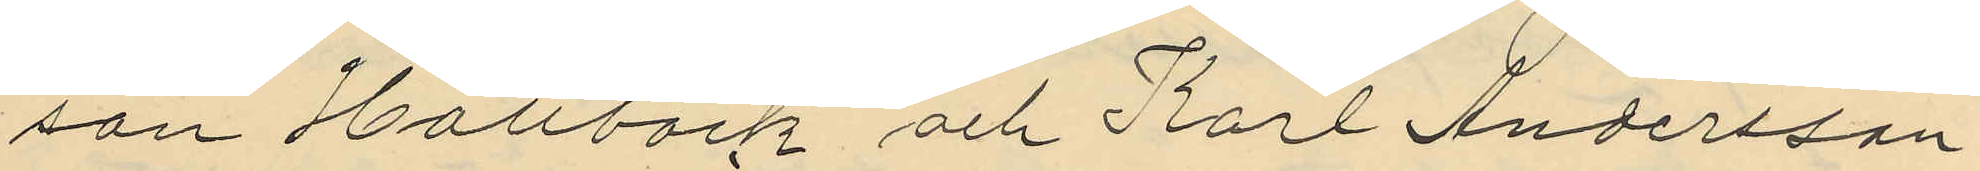son Hallbäck och Karl Andersson
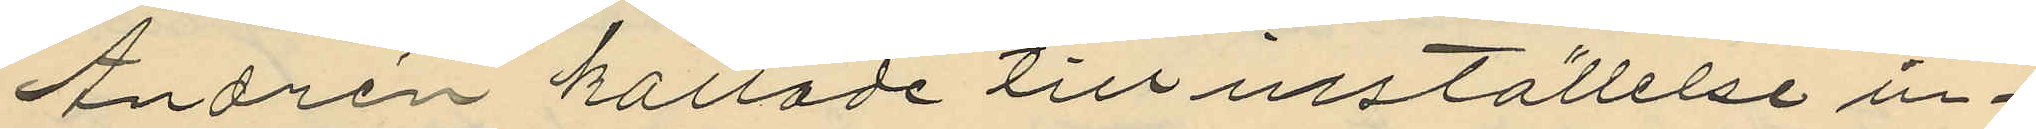Andrén kallade till inställelse in¬
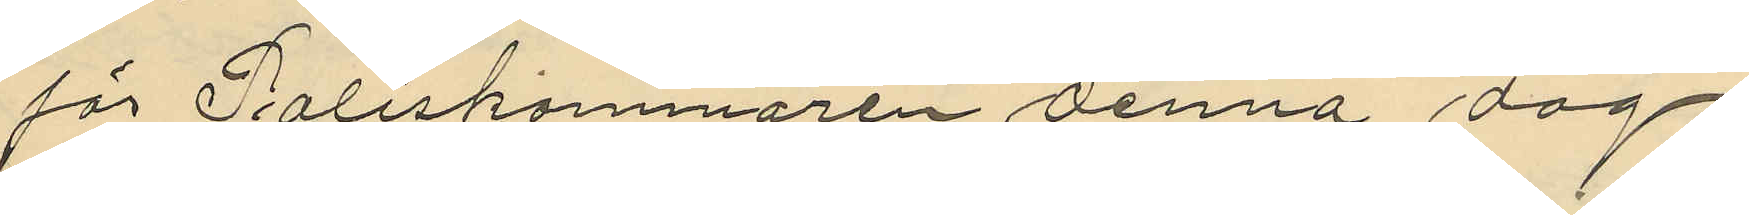för Poliskammaren denna dag.
